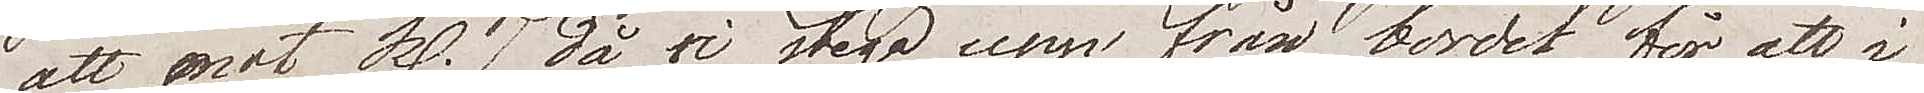att mot Kl. 7 då wi stego upp från bordet, för att i
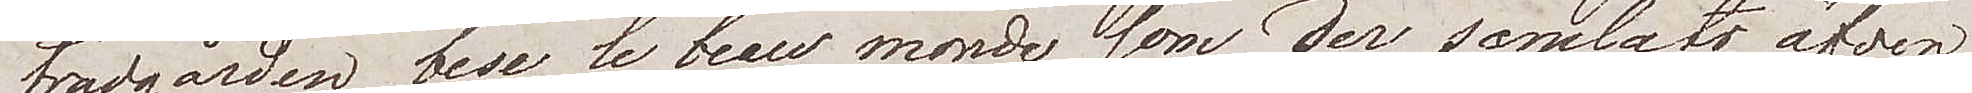trädgården bese le beau monde som der samlats, äfven¬
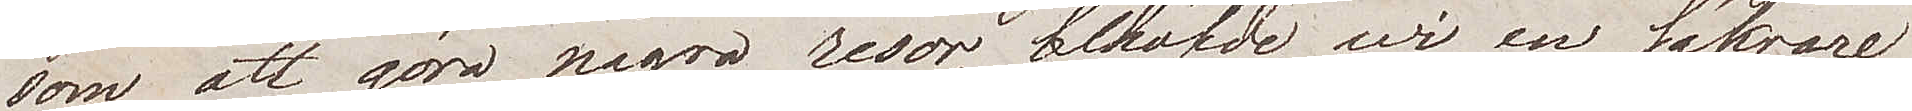som att göra några resor, behöfde wi en säkrare
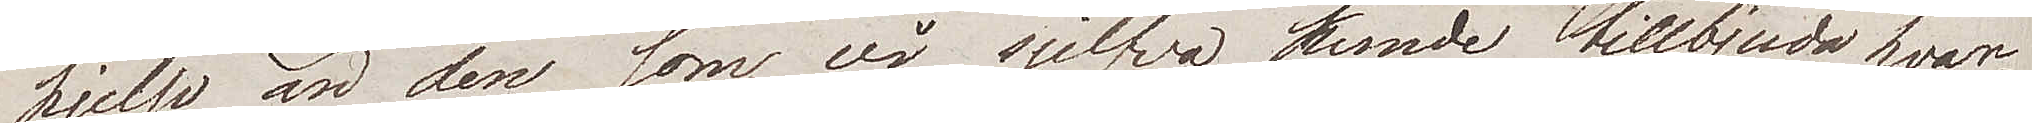hjelp än den som vi sjelfva kunde tillbjuda hvar¬
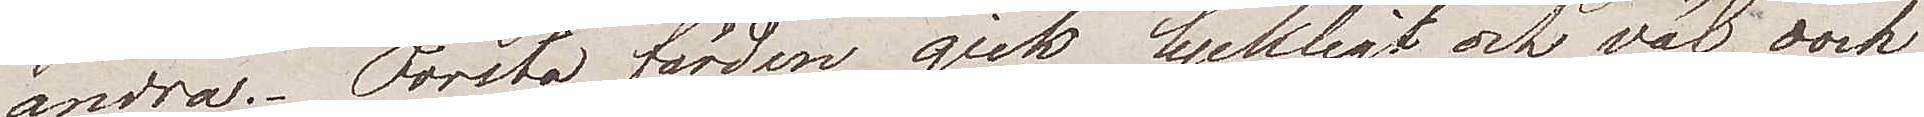andra. Första färden gick lyckligt och väl, dock
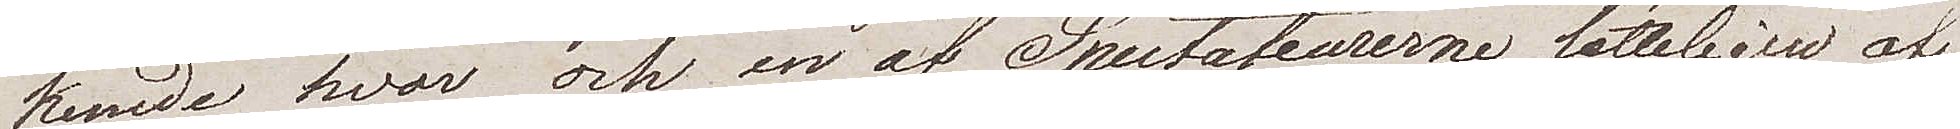kunde hvar och en av Spectateurerna lätteligen af
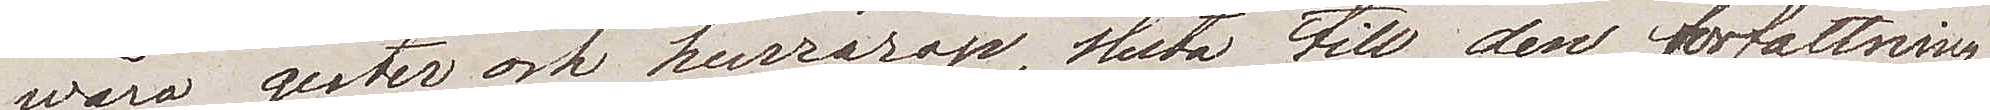wåra gester och hurrarop, sluta till den författning
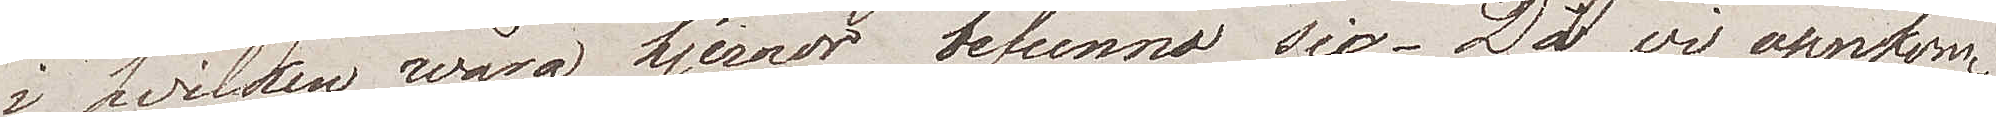i hvilken wåra hjernor befunno sig. Då vi uppkom¬
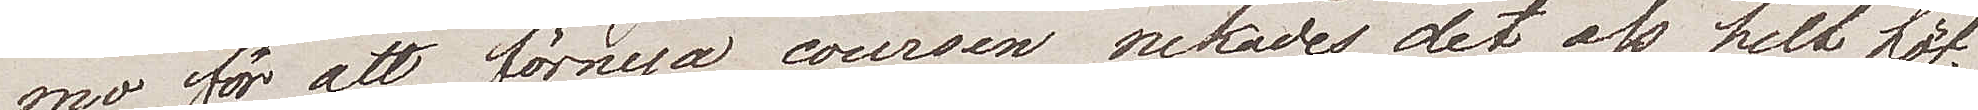mo för att förnya coursen, nekades det oss helt höf¬
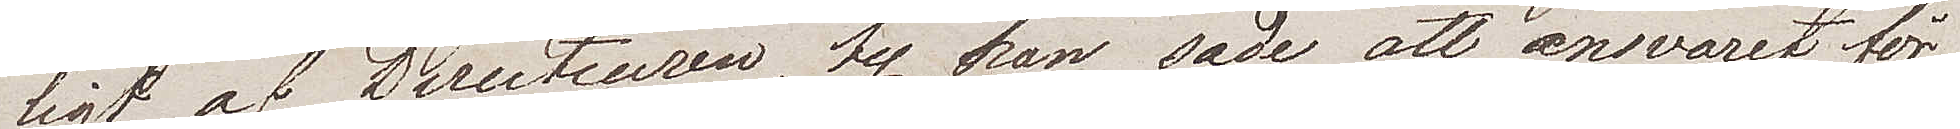ligt af Directeuren, ty han sade att ansvaret för
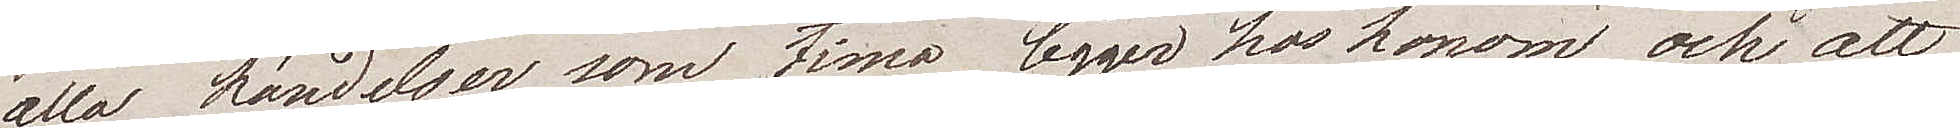alla händelser som tima, ligger hos honom och att
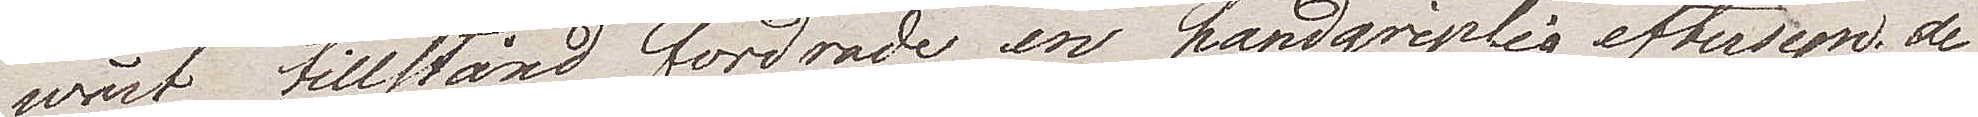wårt tillstånd fordrade en handgriplig eftersyn; de¬
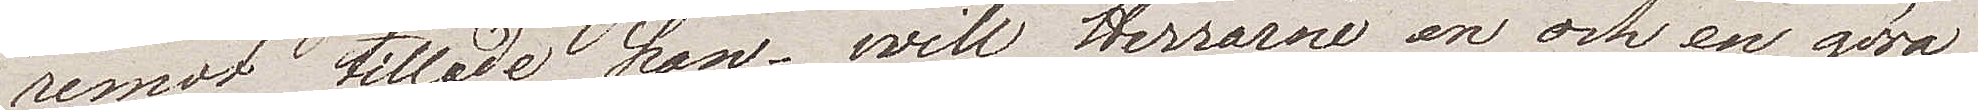remot tillade han – will Herrarne en och en göra
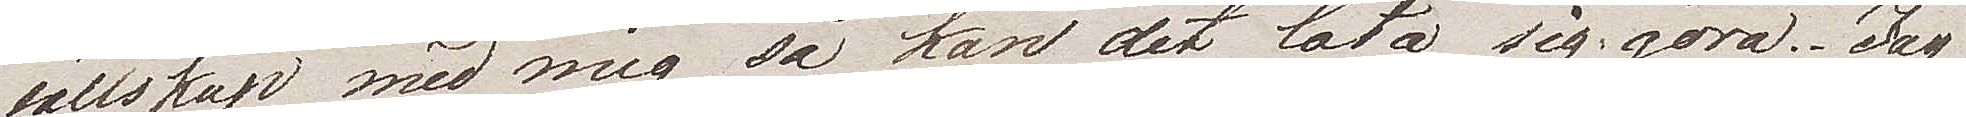sällskap med mig så kan det låta sig göra. Jag
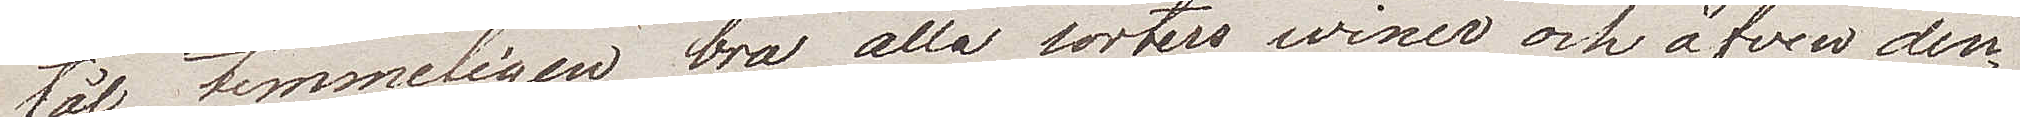tål temmeligen bra alla sorters winer och äfven den¬
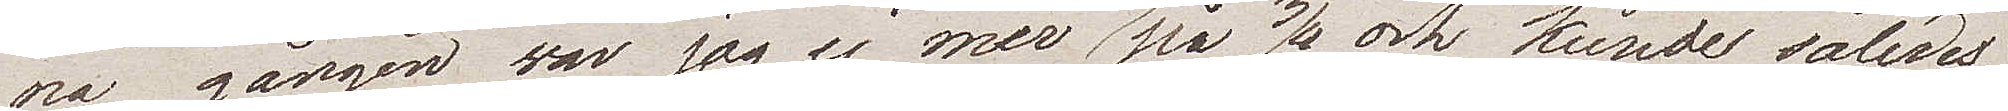na gången var jag ej mer än på 3/4 och kunde således
